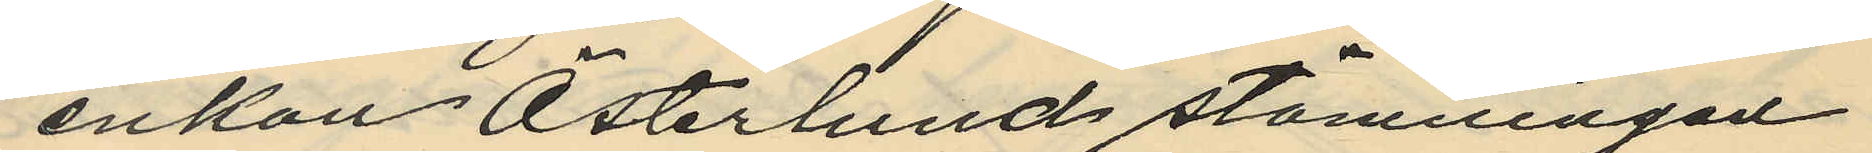enkan Österlund stämningen
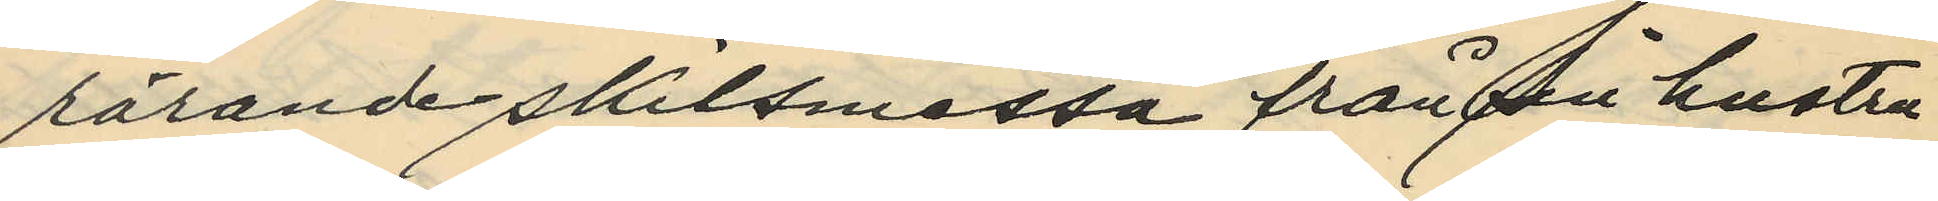rörande skilsmessa från sin hustru
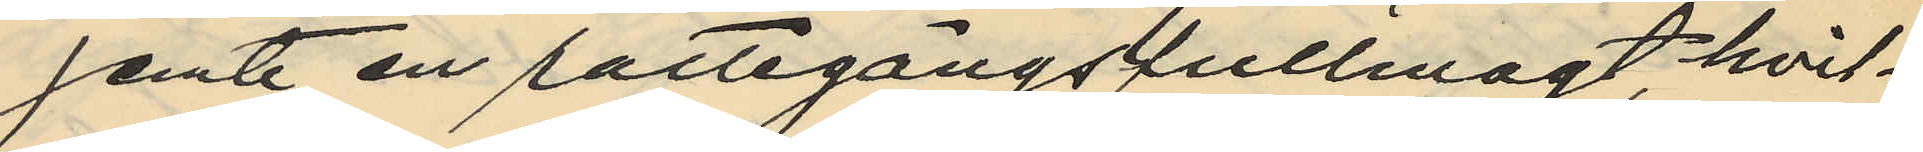jemte en rättegångsfullmagt, hvil¬
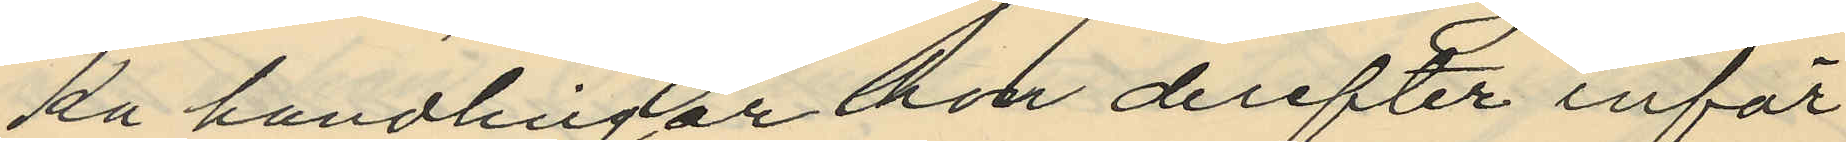ka handlingar hon derefter inför
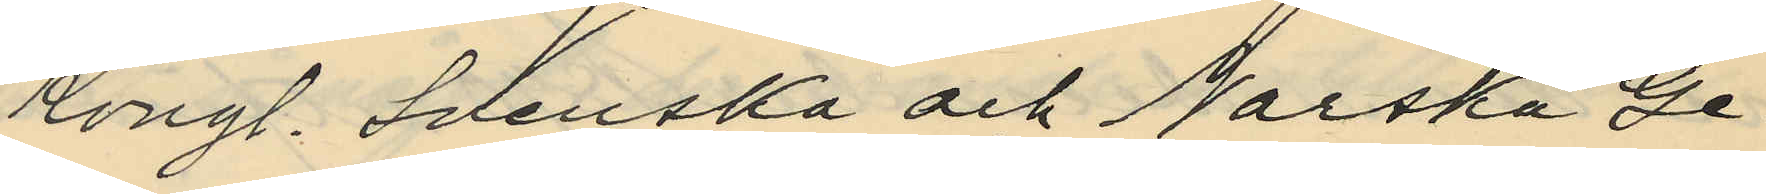Kongl. Svenska och Norska Ge¬
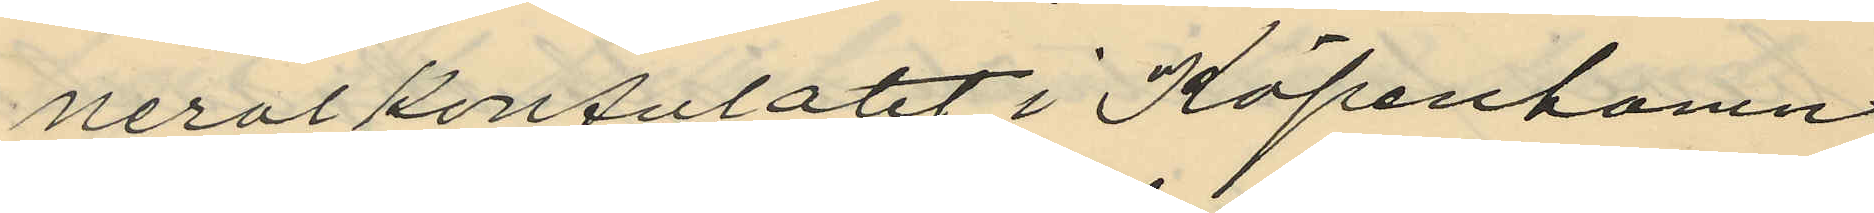neralkonsulatet i Köpenhamn
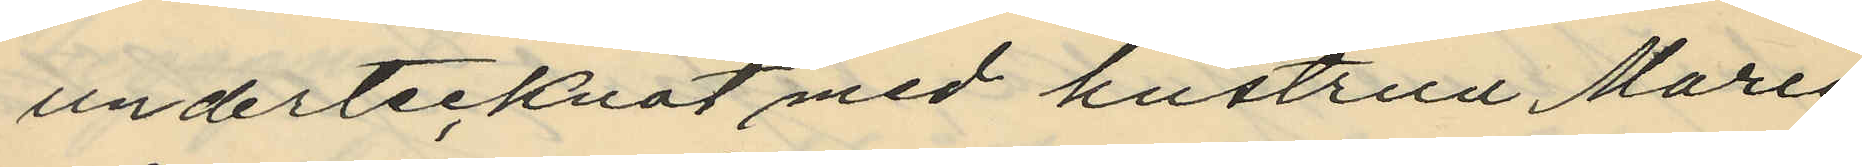undertecknat med hustrun Maria
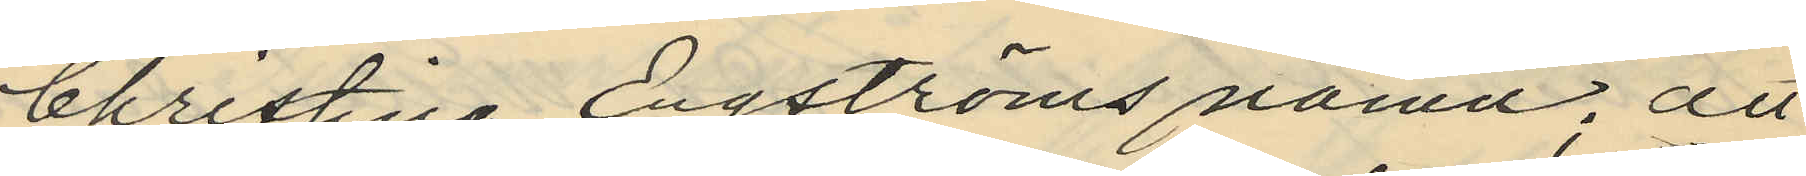Christina Egströms namn; att
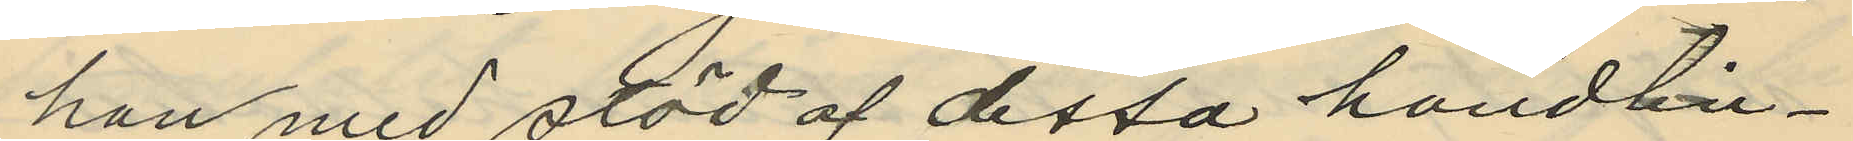han med stöd af dessa handlin¬
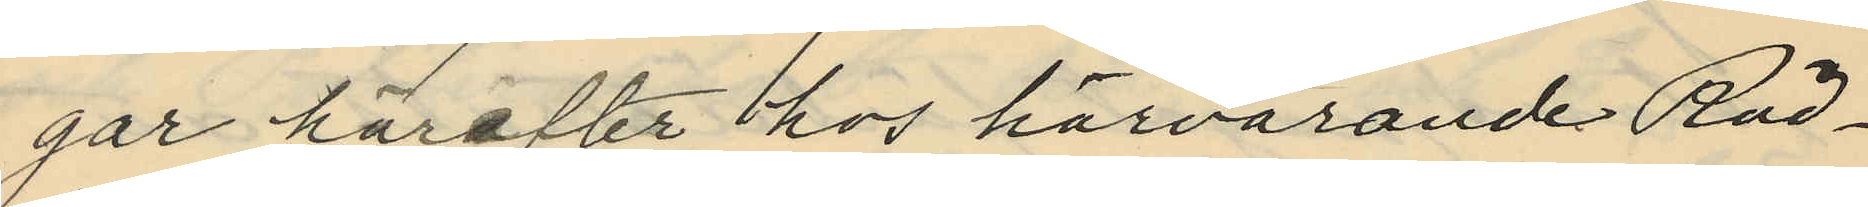gar härefter hos härvarande Råd¬
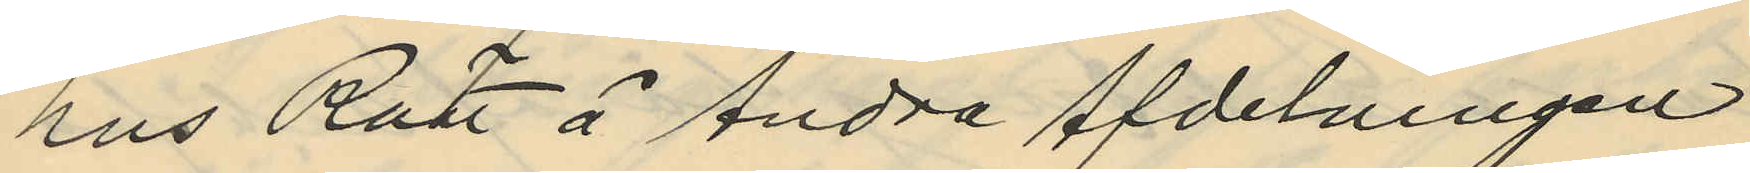hus Rätt å Andra Afdelningen
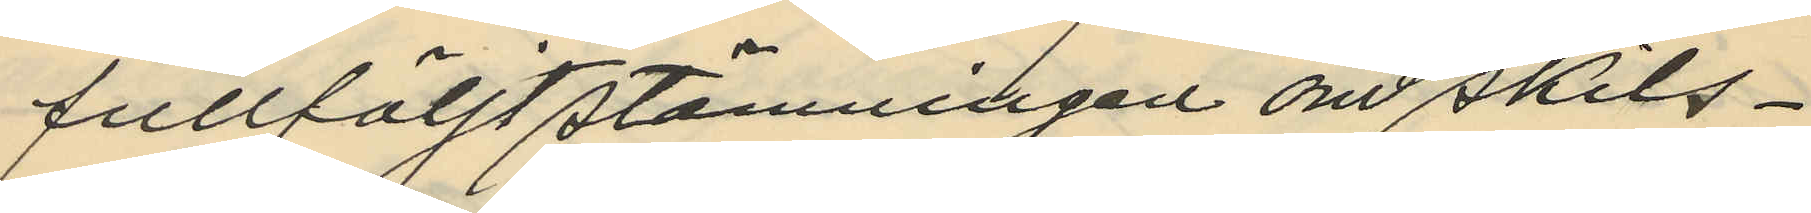fullföljt stämningen om skils¬
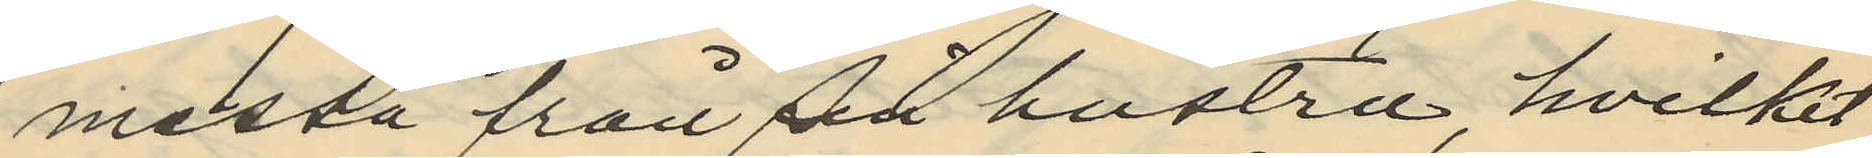messa från sin hustru, hvilket
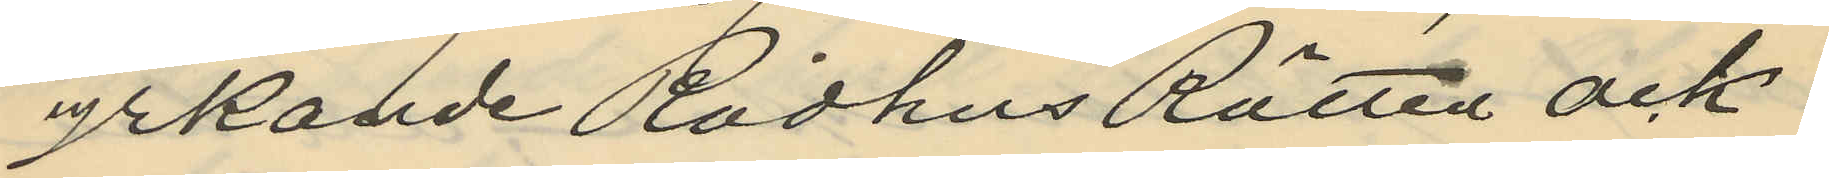yrkande Rådhus Rätten ock
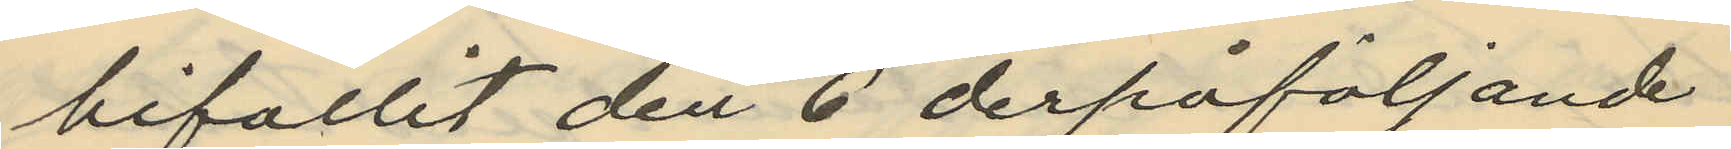bifallit den 6 derpåföljande
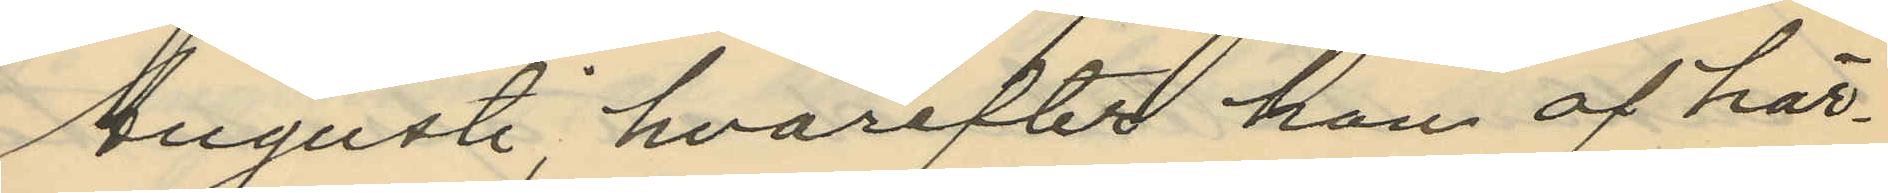Augusti, hvarefter han af här¬
